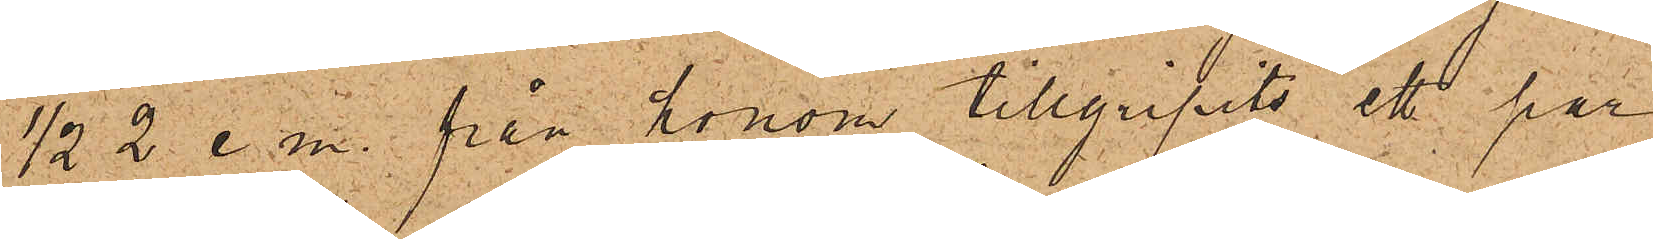1/2  2 e. m. från honom tillgripits ett par
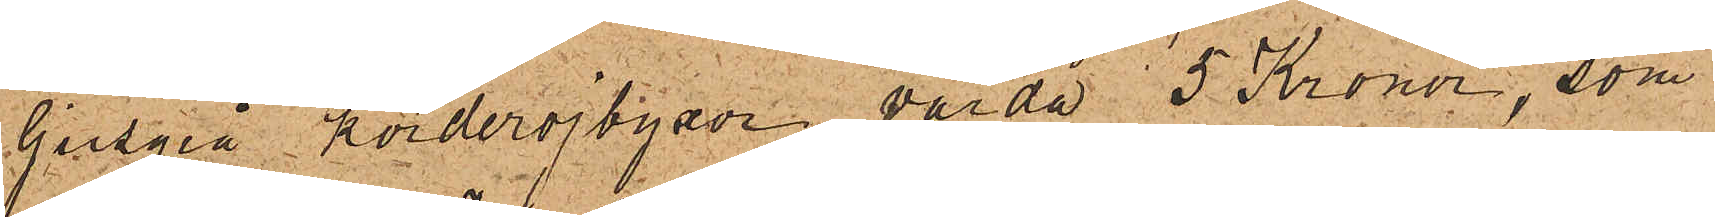ljusgrå korderojbygor värda 5 Kronor, som
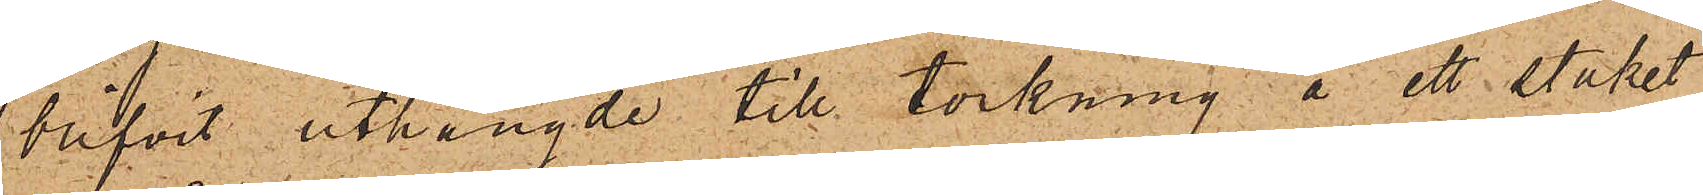blifvit uthängde till torkning å ett staket
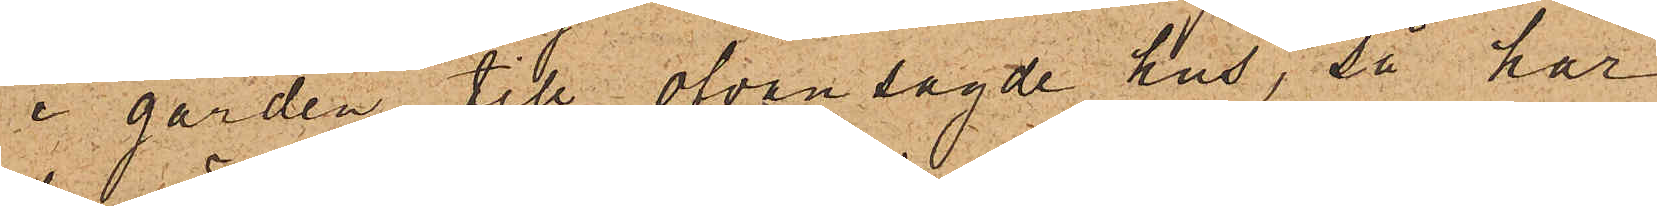i gården till ofvan sagde hus, så har
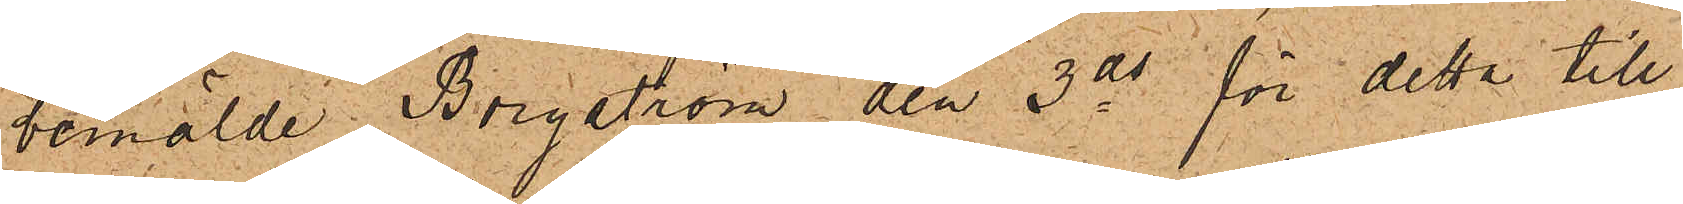bemälde Borgström den 3 ds för detta till¬
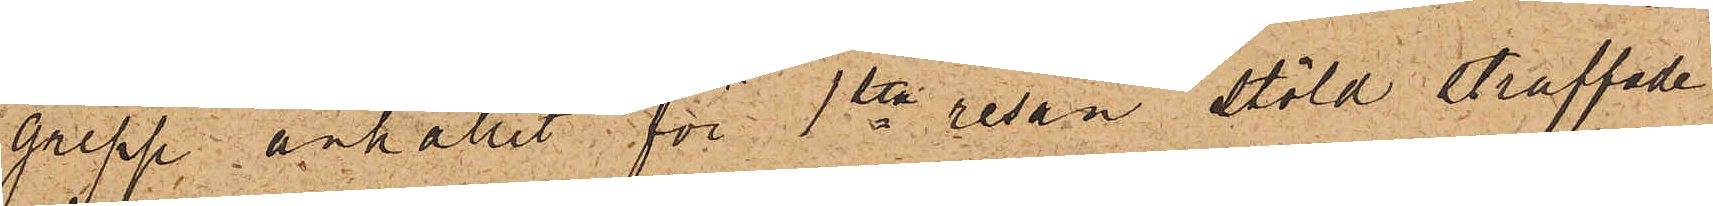grepp anhållit för 1sta resan stöld straffade
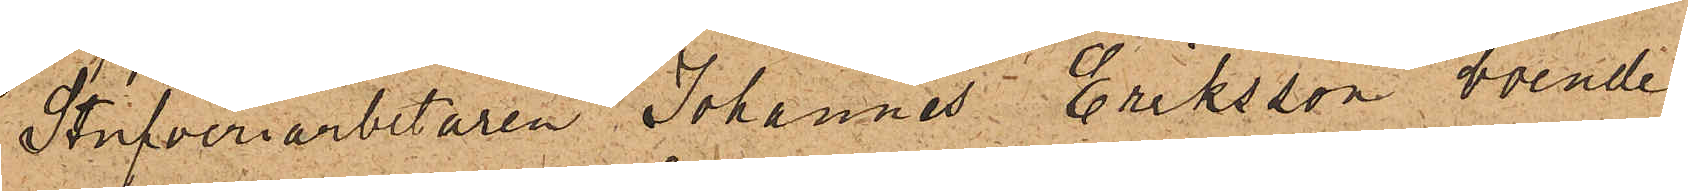Stufveriarbetaren Johannes Eriksson, boende
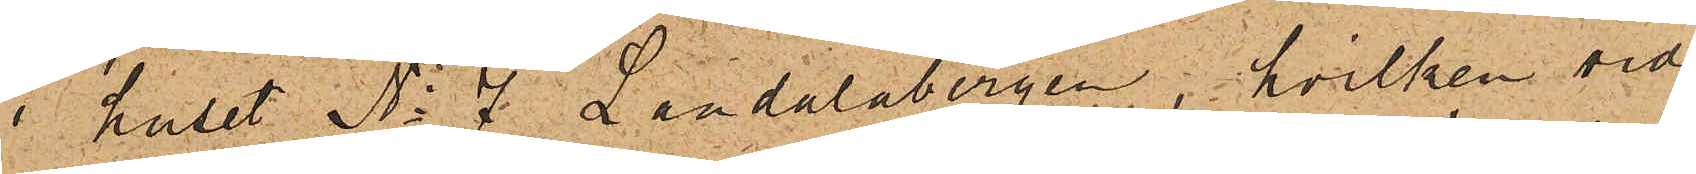i huset No 7 Landalabergen, hvilken vid
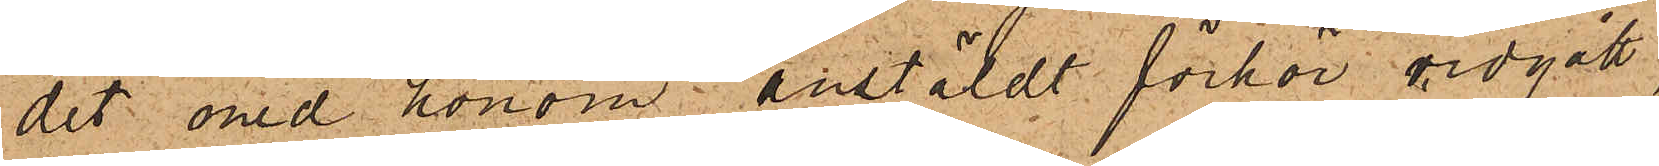det med honom anstäldt förhör vidgått,
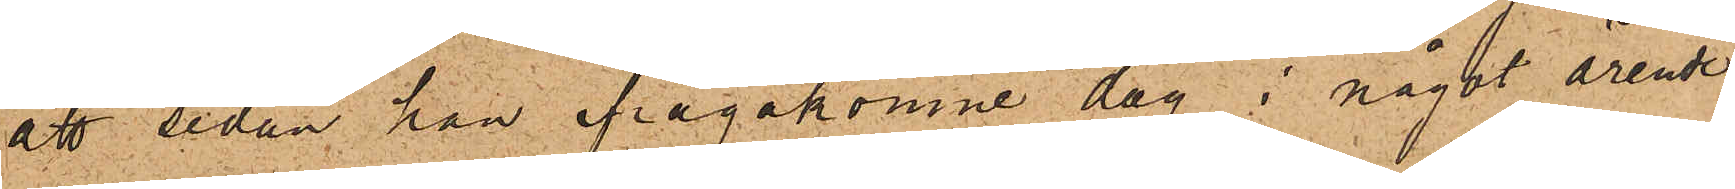att sedan han ifrågakomne dag i något ärende
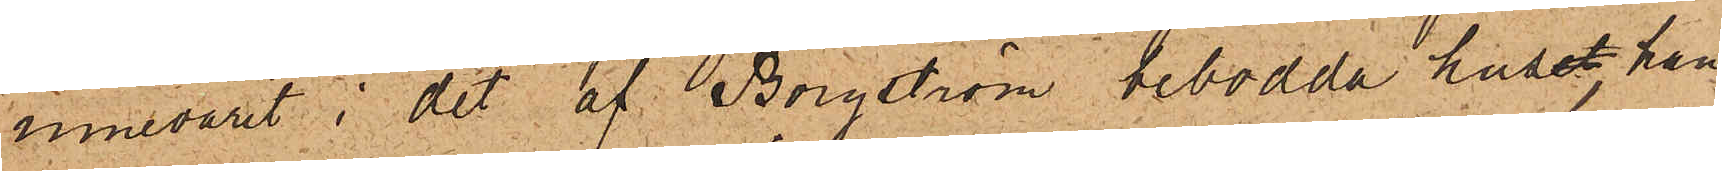innevarit i det af Borgström bebodda huset, han
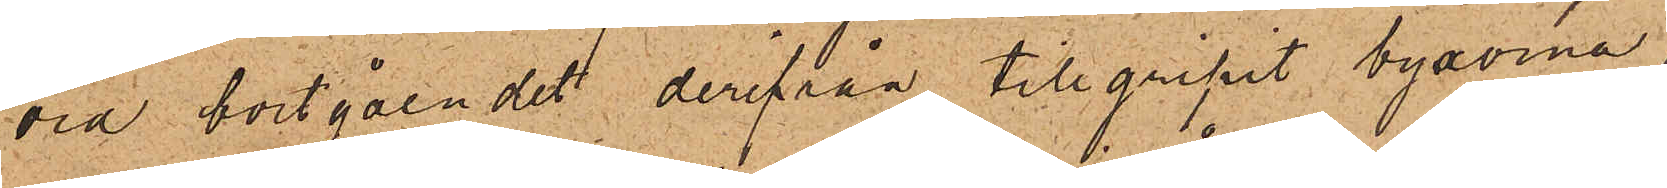vid bortgåendet derifrån tillgripit byxorna,
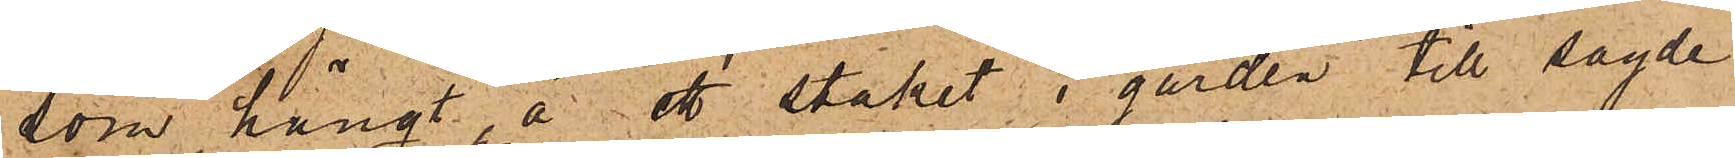som hängt å ett staket i gården till sagde
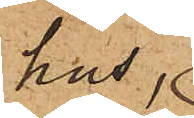hus,
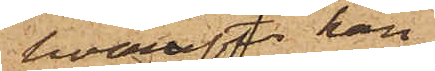hvarefter han
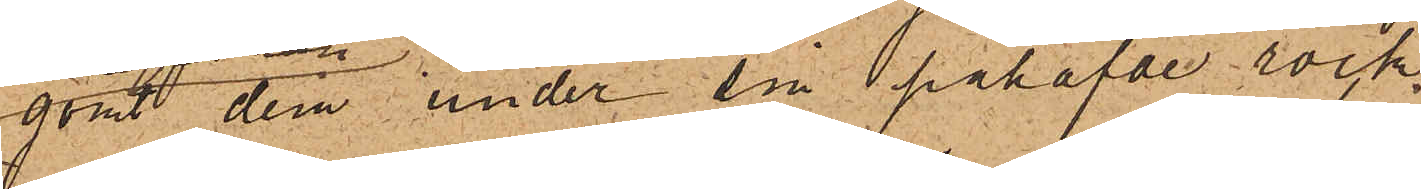gömt dem under sin påhafvde rock,
